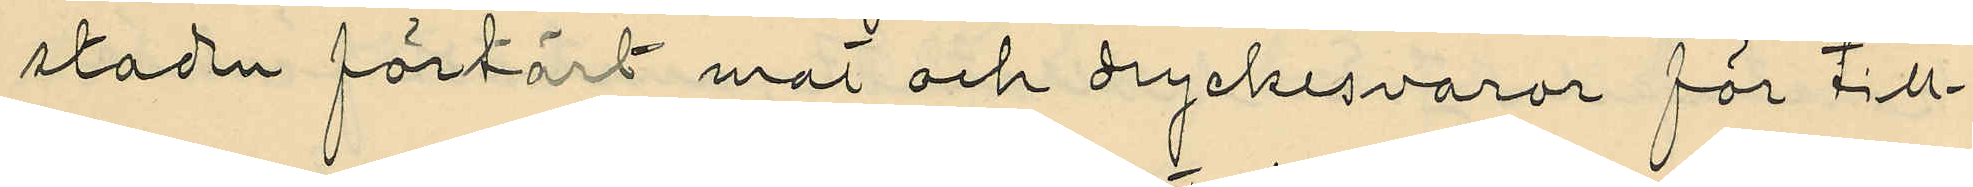staden förtärt mat och dryckesvaror för till¬
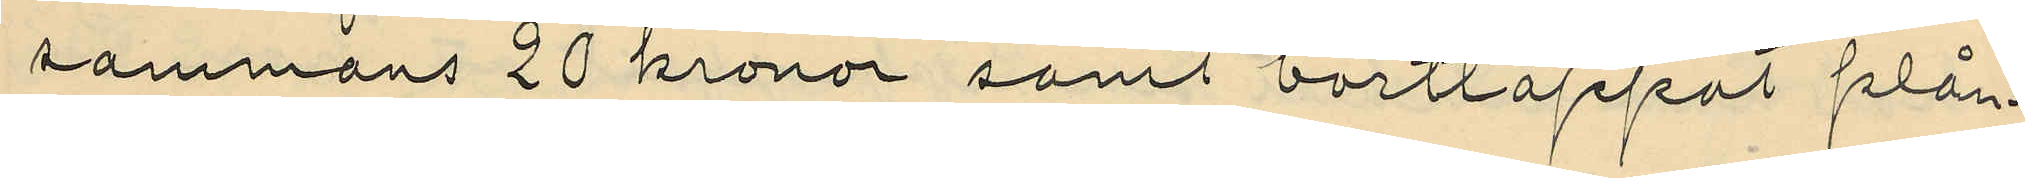sammans 20 kronor samt borttappat plån¬
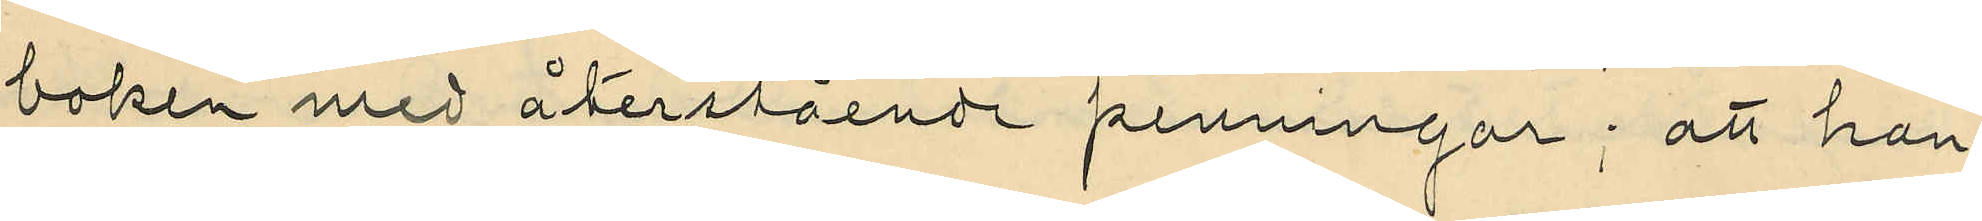boken med återstående penningar; att han
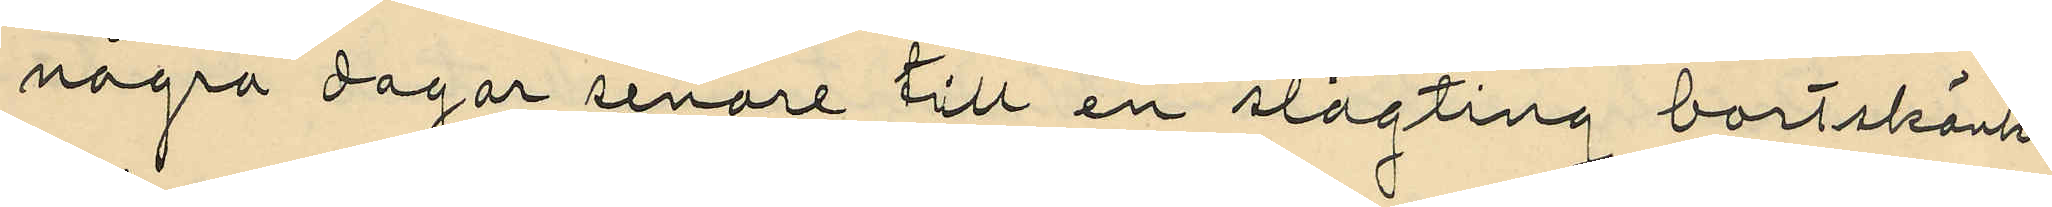några dagar senare till en slägting bortskänkt
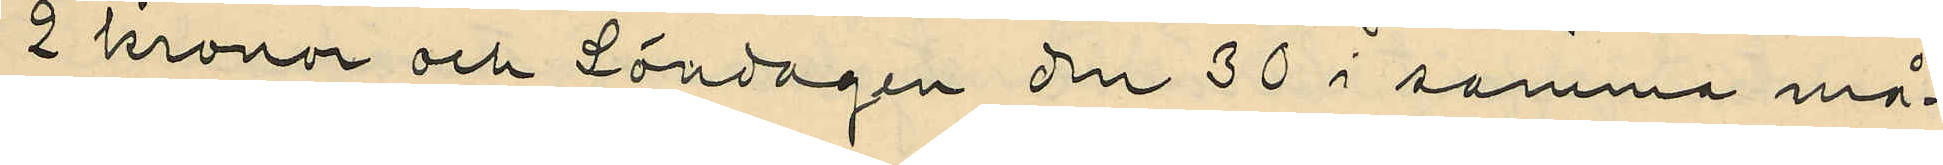2 kronor och Lördagen den 30 i samma må¬
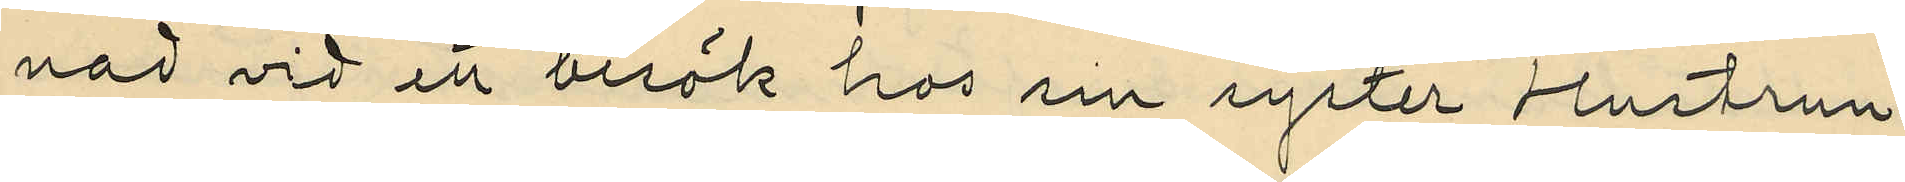nad vid ett besök hos in syster Hustrun
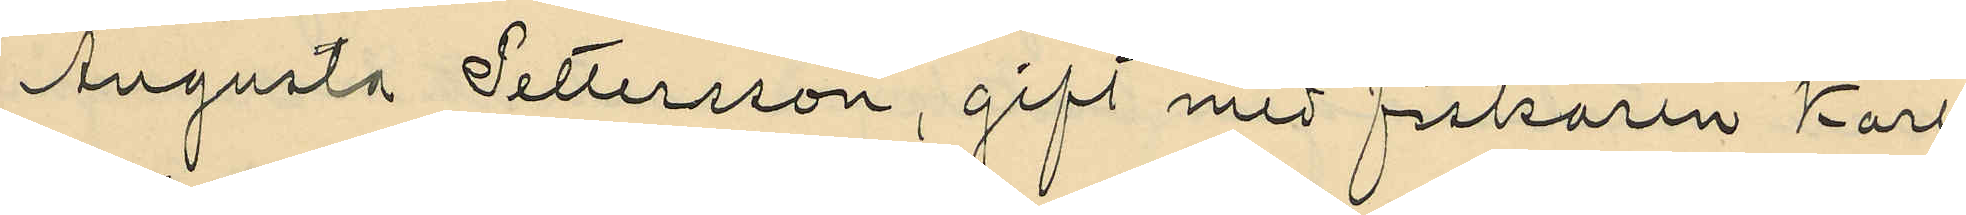Augusta Pettersson, gift med fiskaren Karl
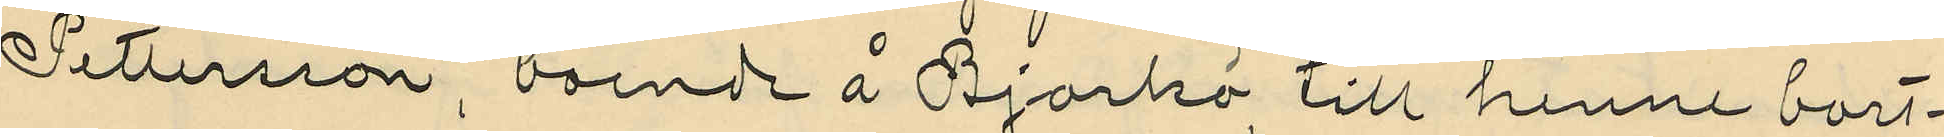Pettersson, boende å Björkö, till henne bort¬
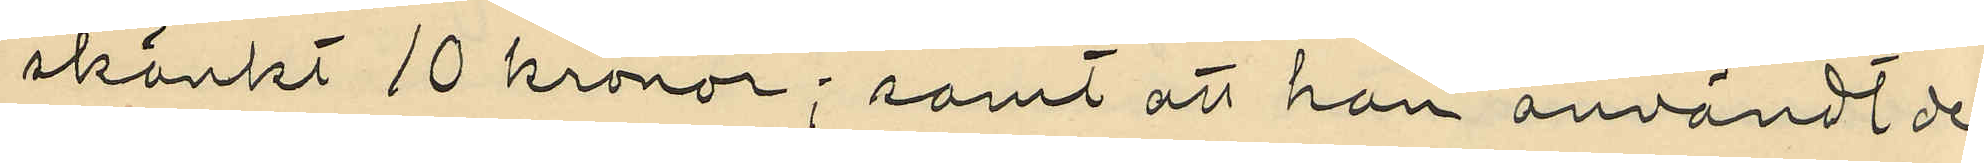skänkt 10 kronor; samt att han användt de
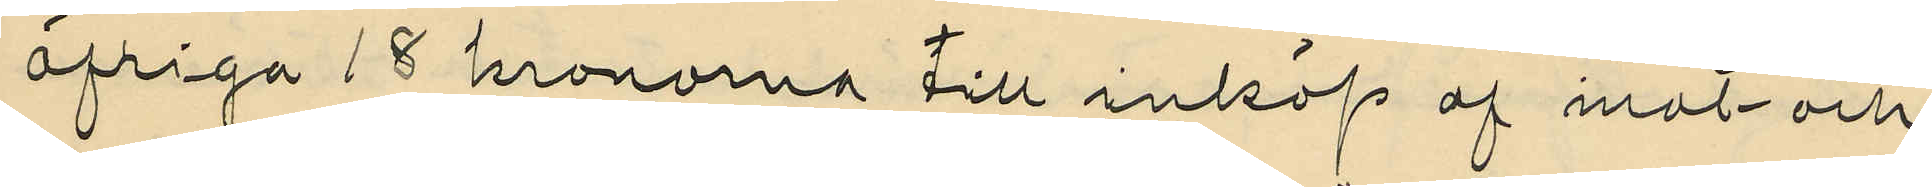öfriga 18 kronorna till inköp af mat och
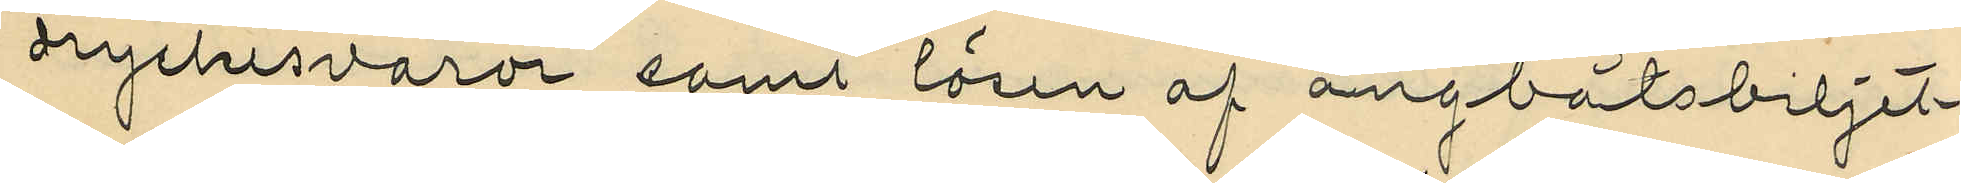dryckesvaror samt lösen af ångbåtsbiljet¬
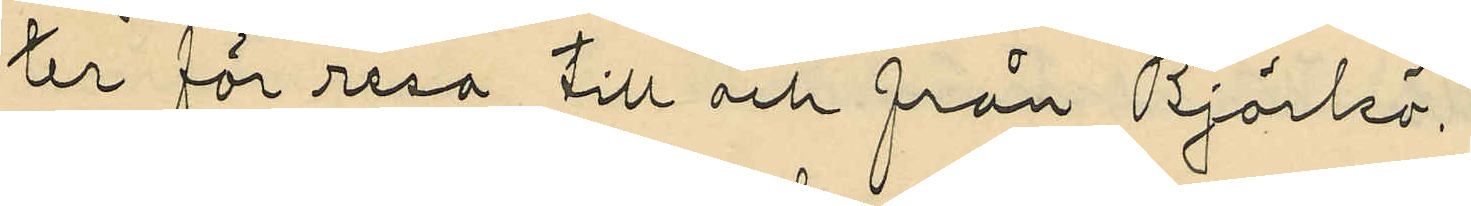ter för resa till och från Björkö.
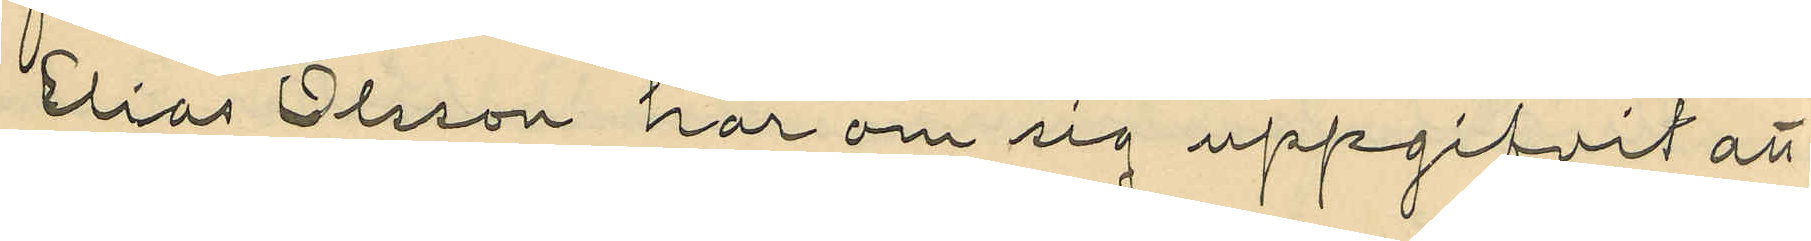Elias Olsson har om sig uppgifvit att
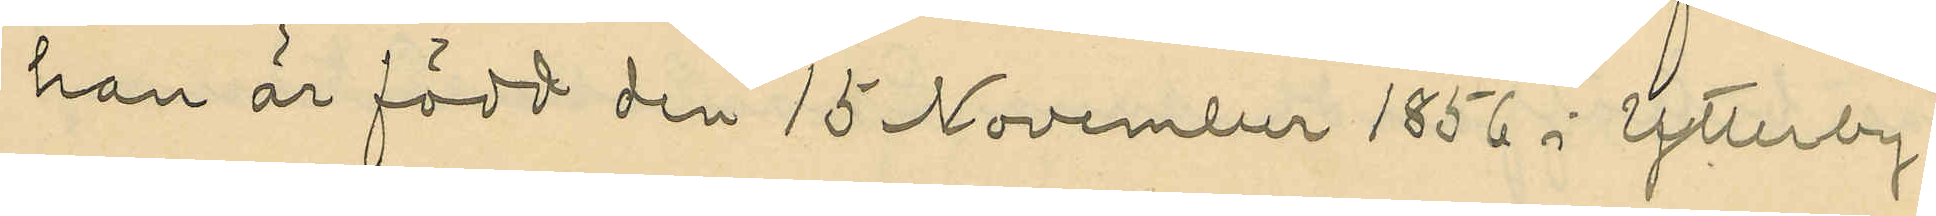han är född den 15 November 1856 i Ytterby
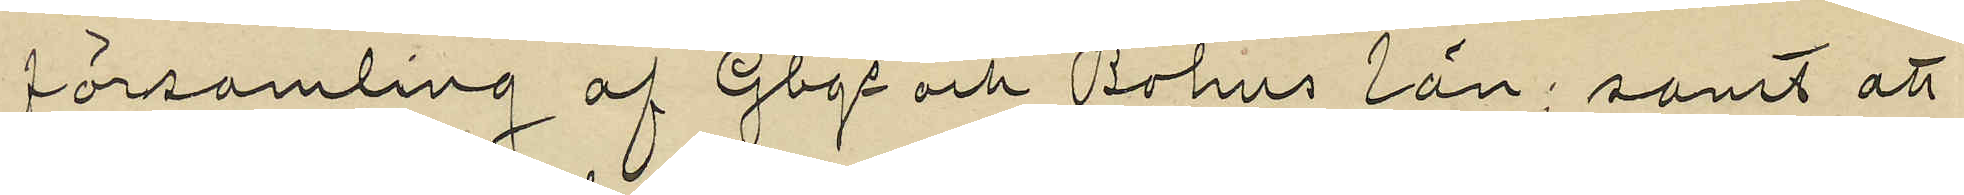församling af Gbgs och Bohus län; samt att
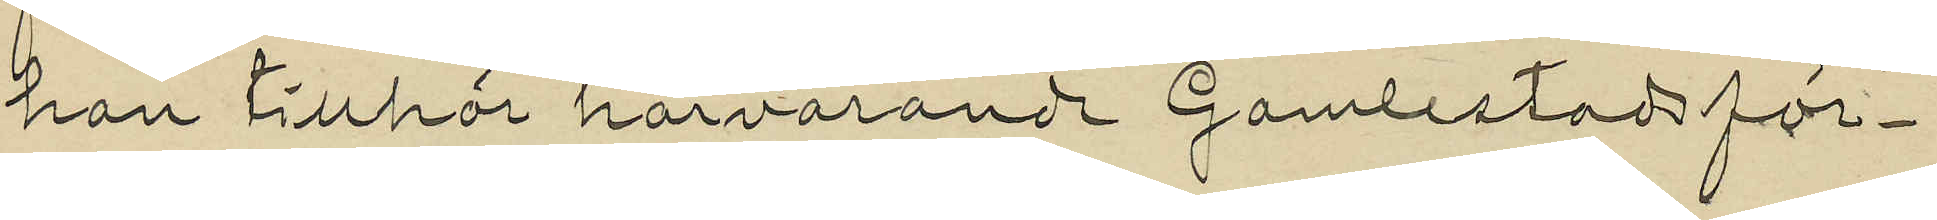han tillhör härvarande Gamlestads för¬
